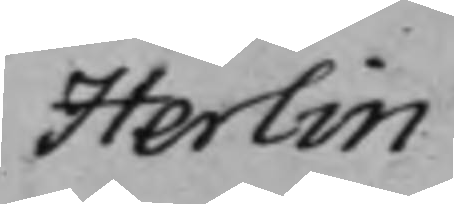Herlin
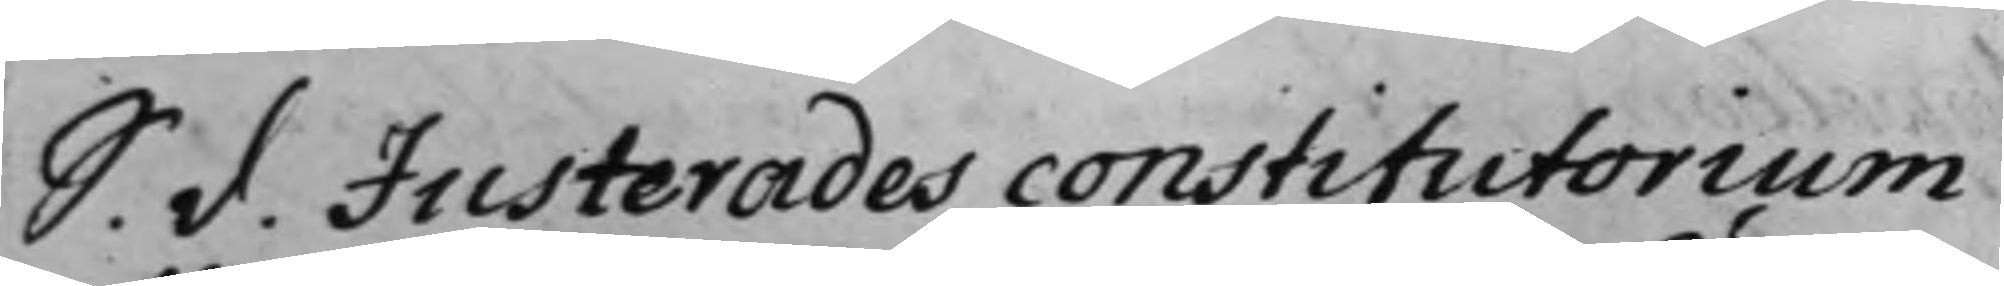S. d. Justerades constitutorium
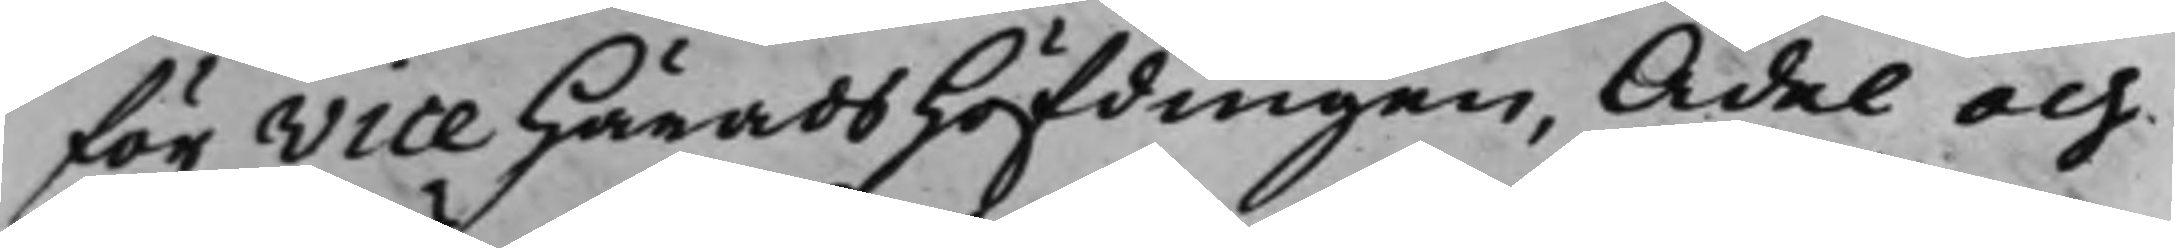för Vice HäradsHöfdingen, Ädel och
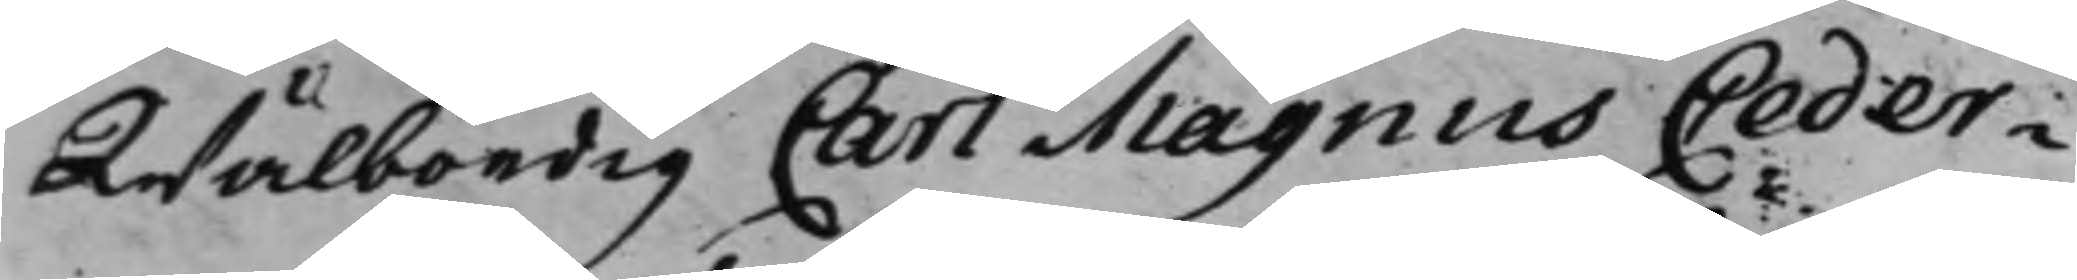Wälbördig Carl Magnus Ceder¬
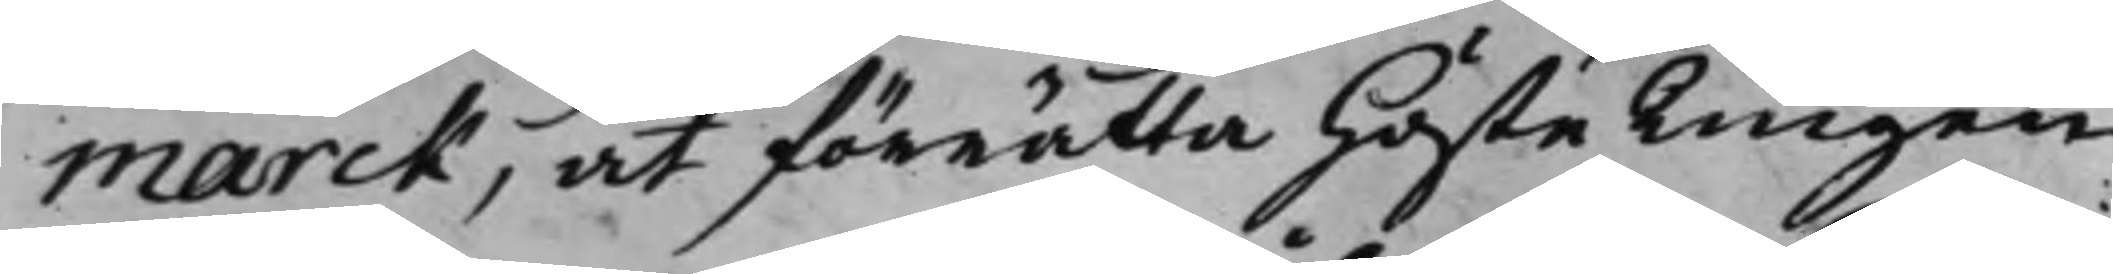marck, at förrätta Höste Tingen
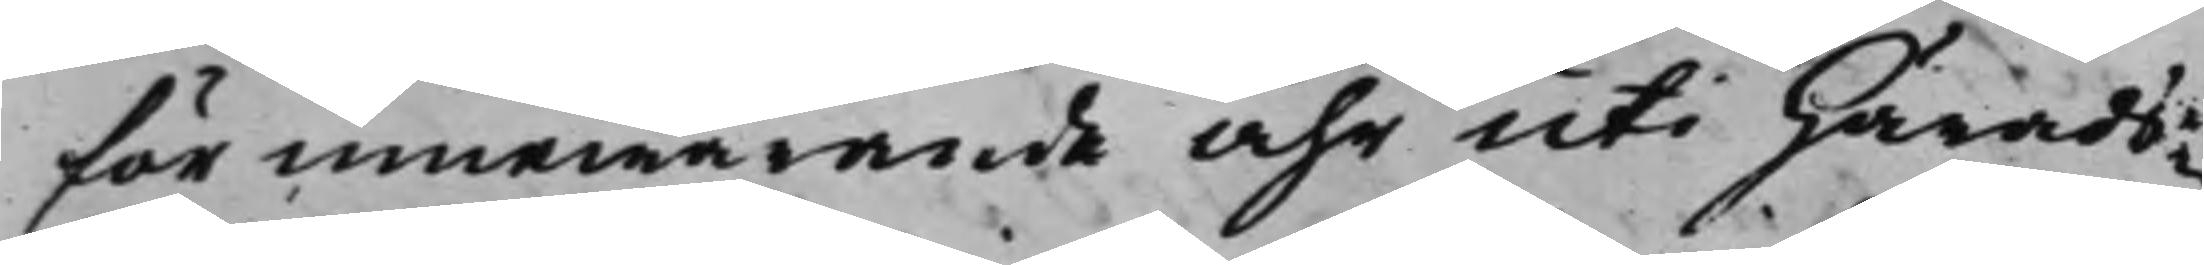för innewarande Åhr uti Härads¬
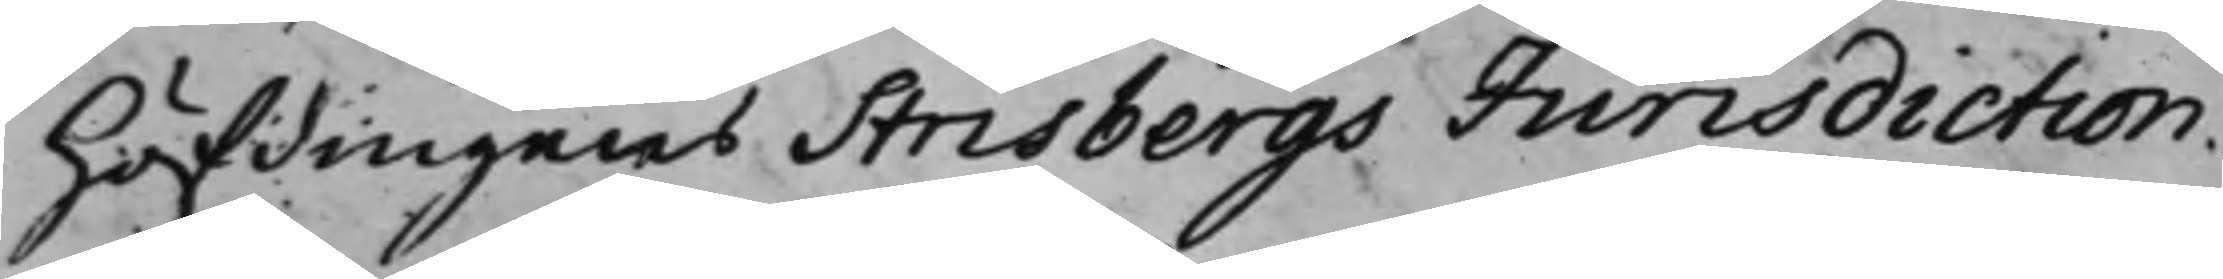Höfdingens Strisbergs Jurisdiction.
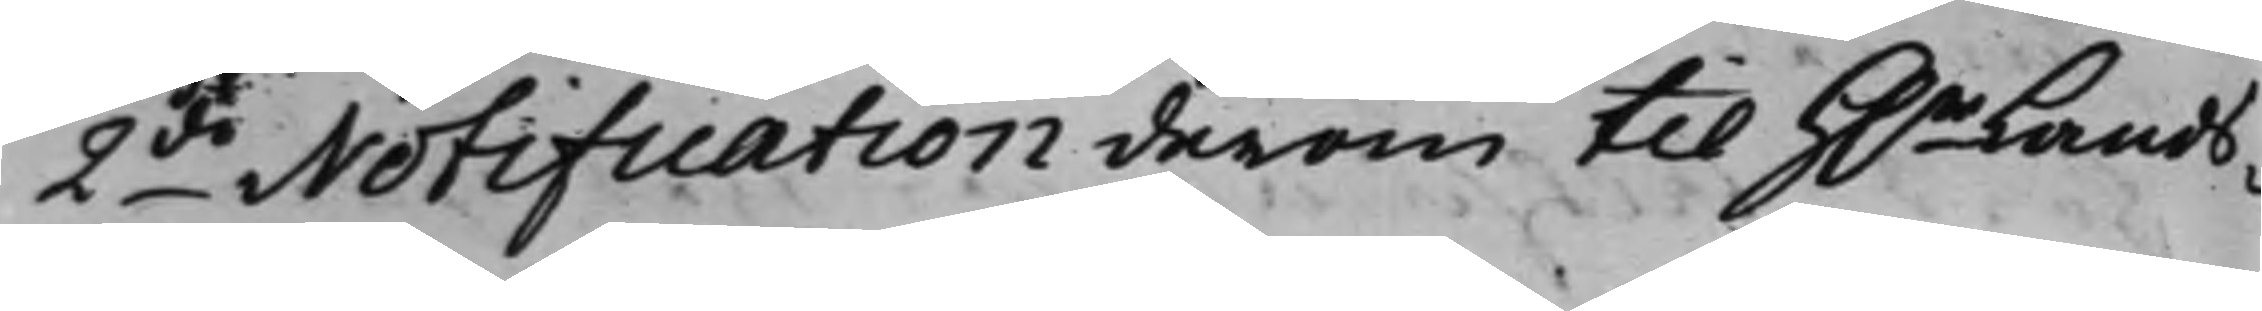2do Notification derom till H.r Lands¬
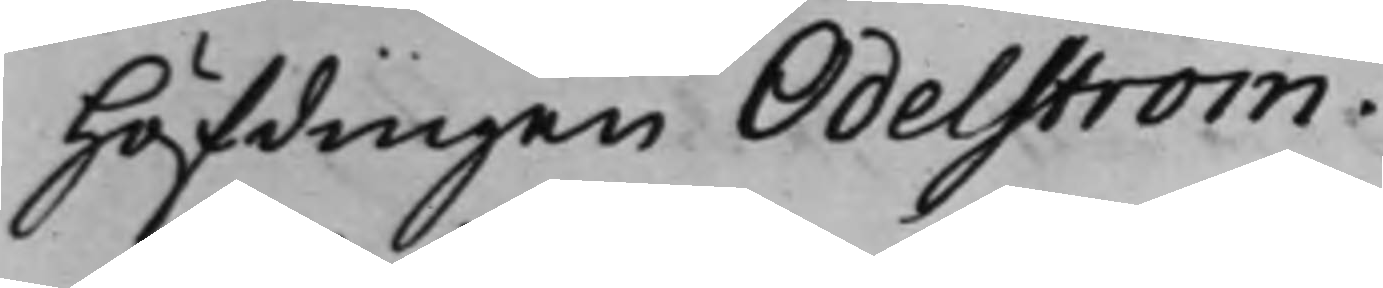Höfdingen Odelström.
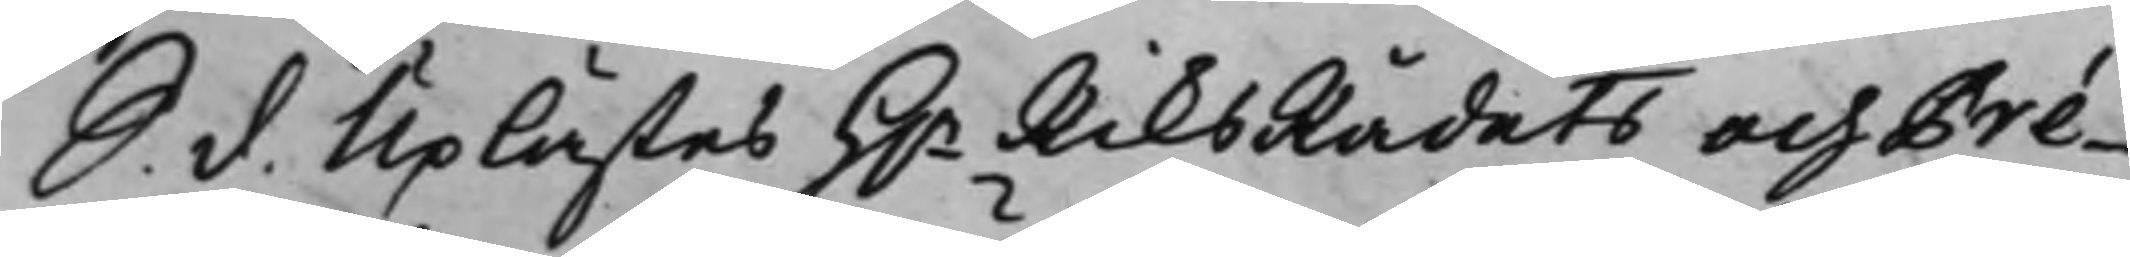S. d. Uplästes H.r RiksRådets och Pré¬
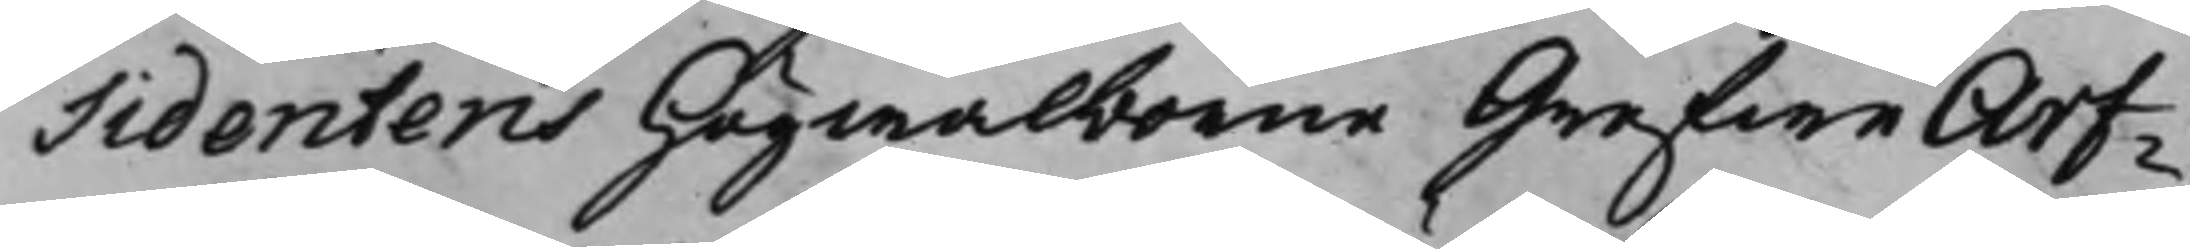Sidentens Högwälborne Grefwe Arf¬
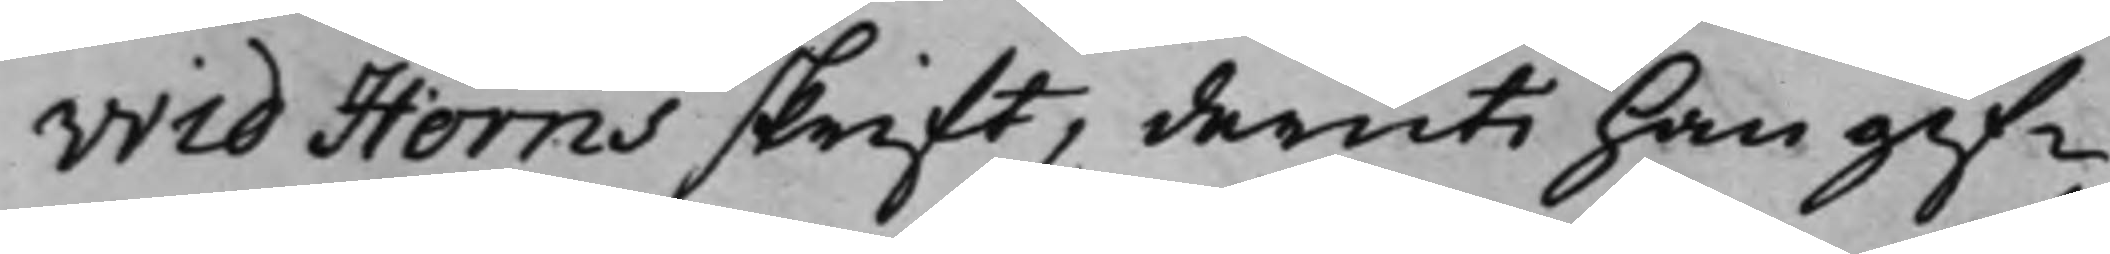vid Horns skrift, deruti han gif¬
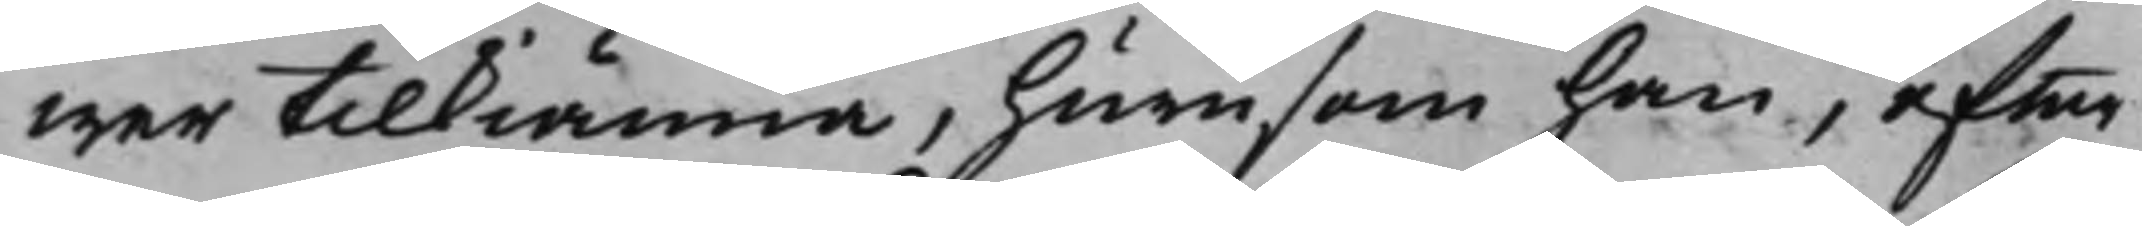wer tilkiänna, hurusom han, efter
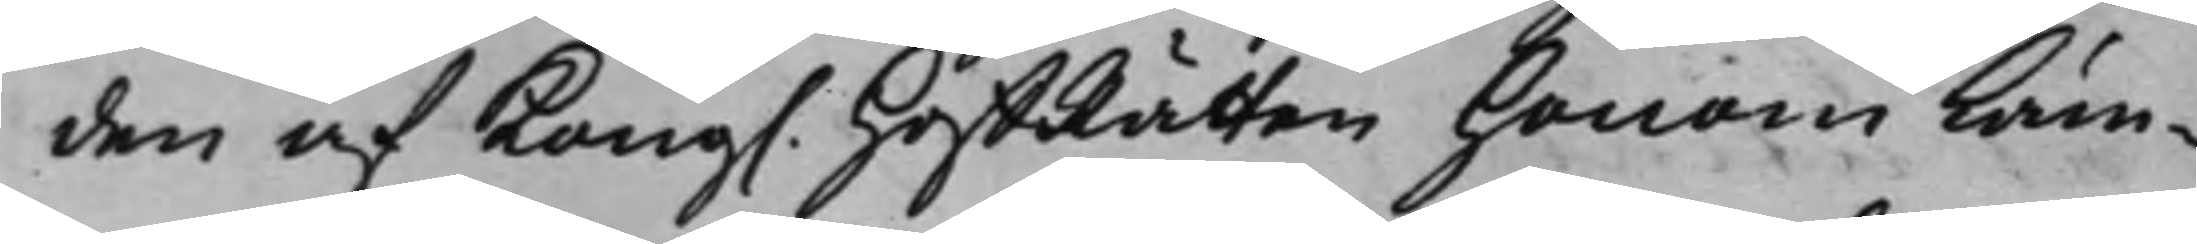den af Kong. HoffRätten honom läm¬
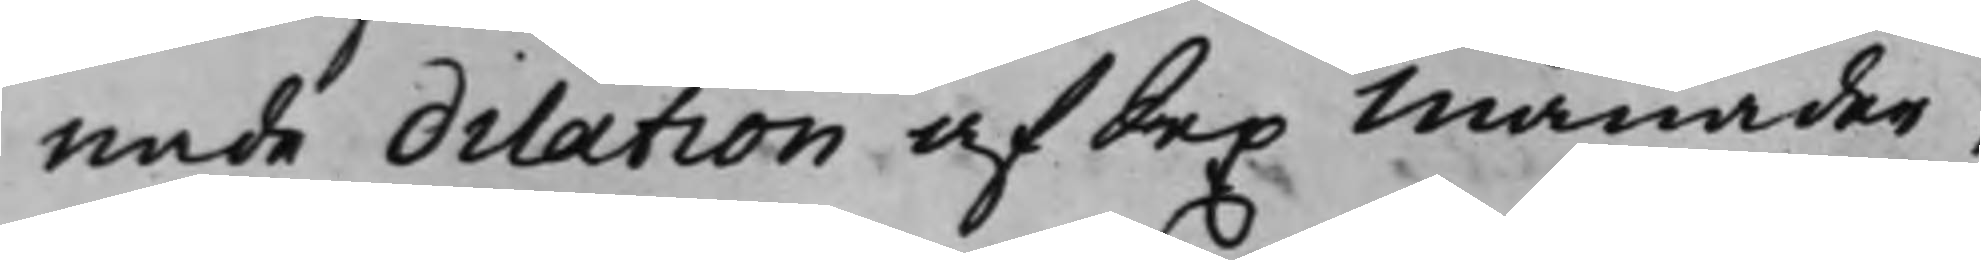nade dilation af Sex Månader,
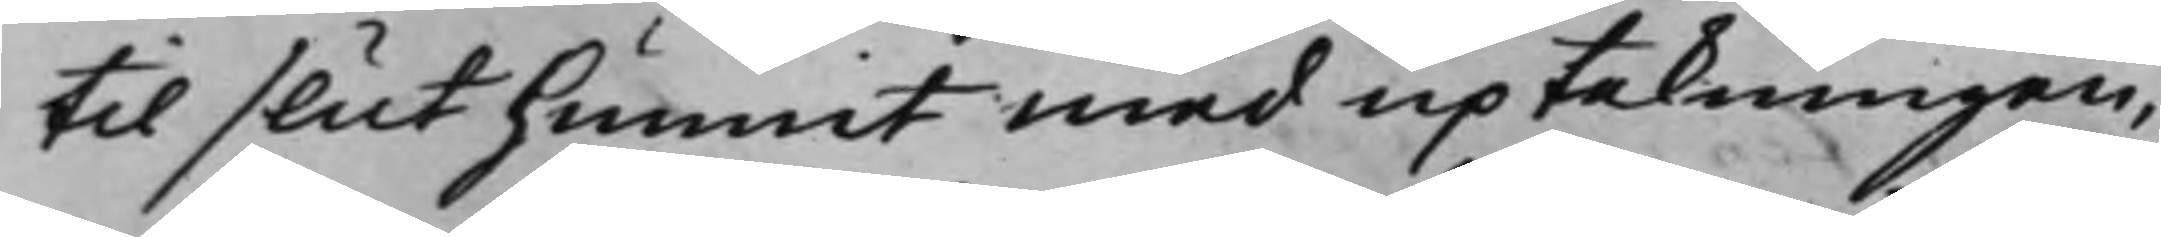til slut hunnit med uptekningen,
